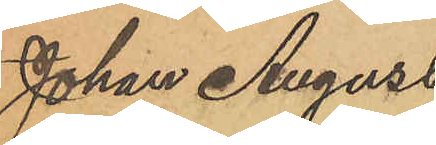Johan August
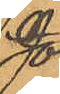Jonsson eller Bengts¬
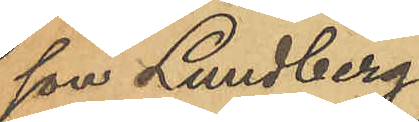son Lundberg,
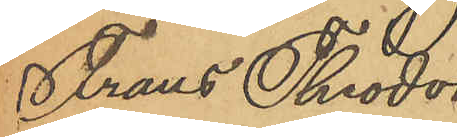Frans Theodor
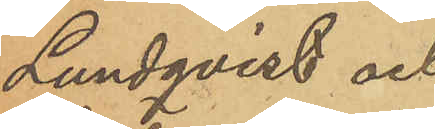Lundqvist och
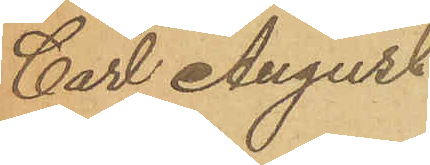Carl August
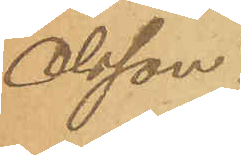Olsson.
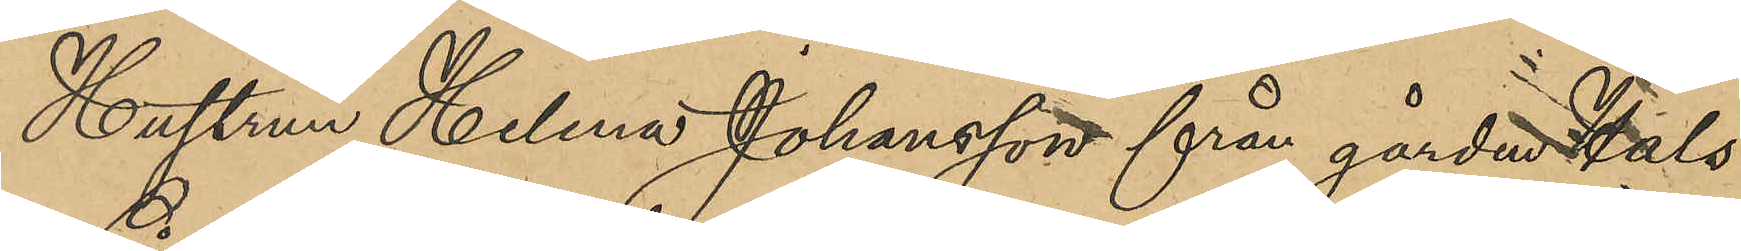Hustrun Helena Johansson från gården Hals
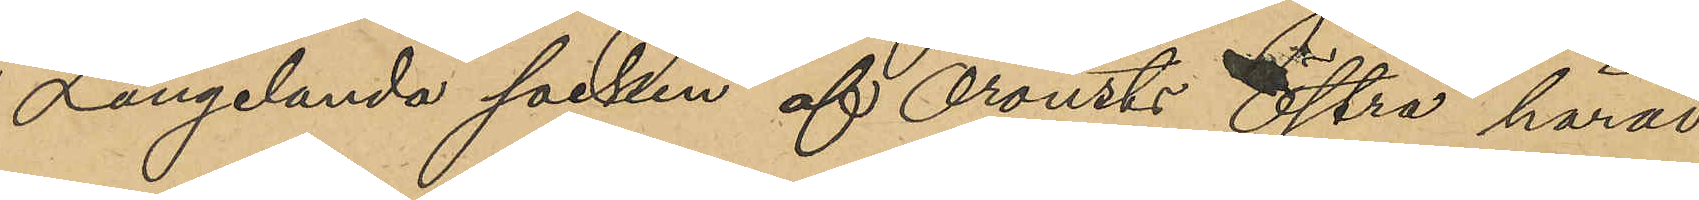i Långelanda socken af Orousts Östra härad
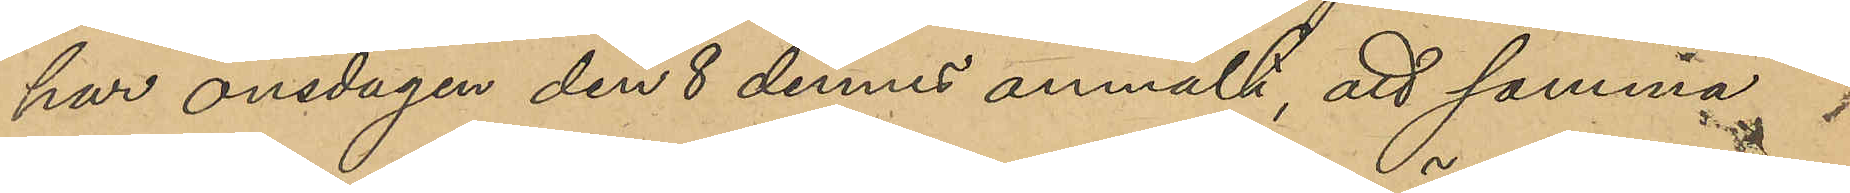har onsdagen den 8 dennes anmält, att samma
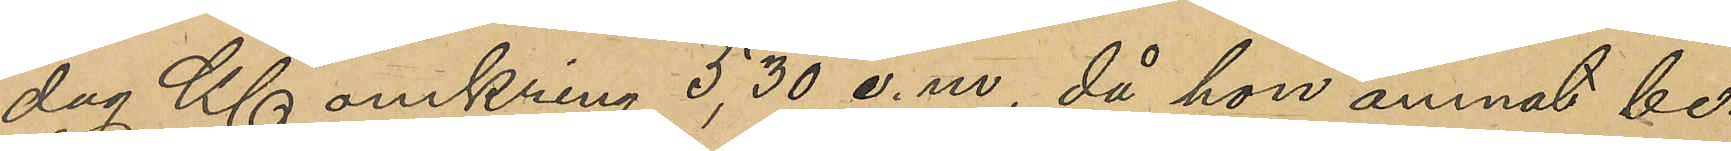dag Kl omkring 5,30 e.m, då hon ämnat be¬
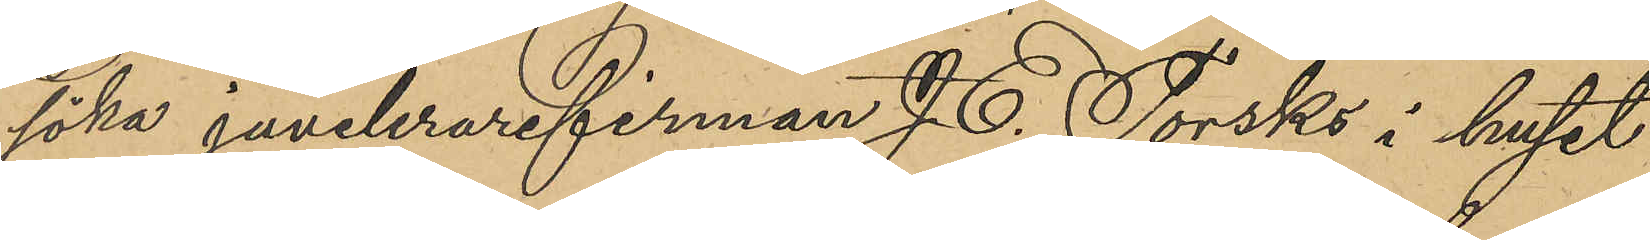söka juvelerarefirman J. E. Torsks i huset
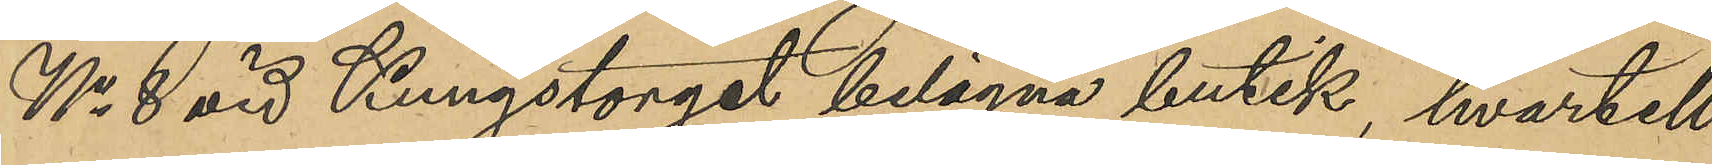No 8 vid Kungstorget belägna butik, hvartill
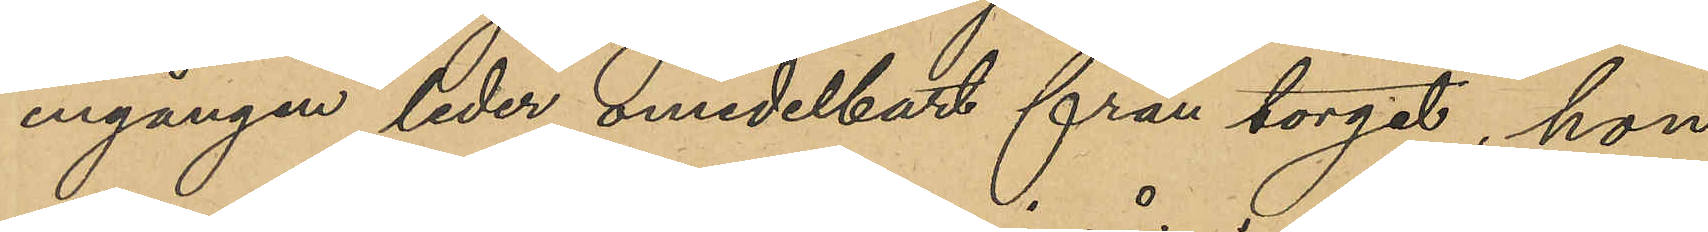ingången leder omedelbart från torget, hon
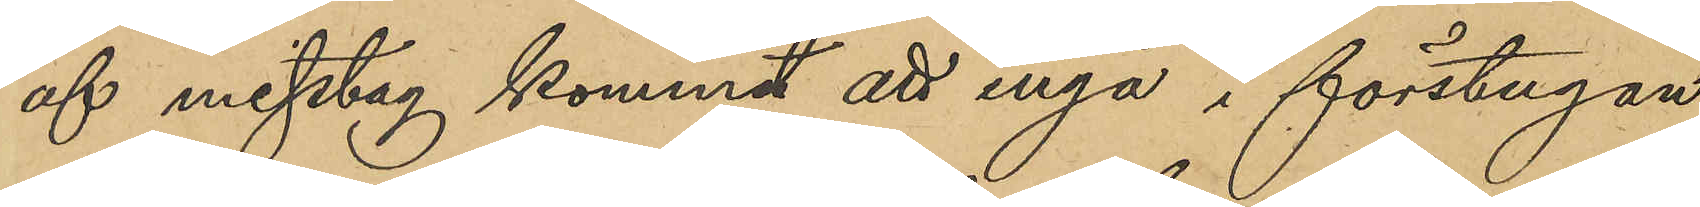af misstag kommit att ingå i förstugan
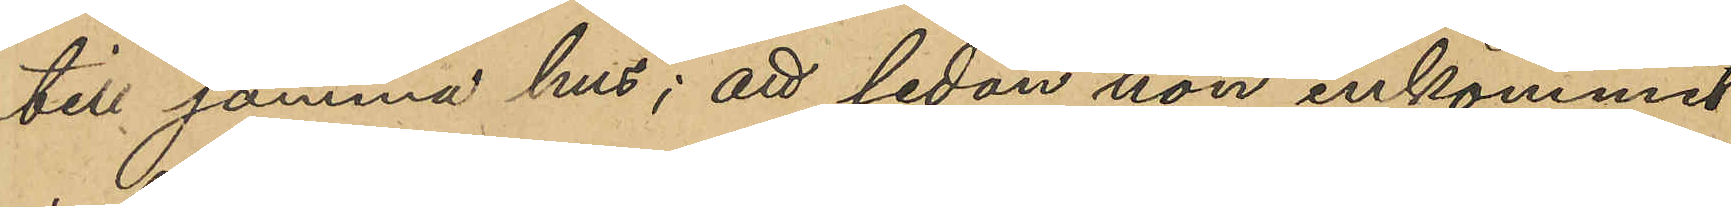till samma hus; att sedan hon inkommit
